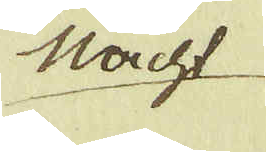Macht
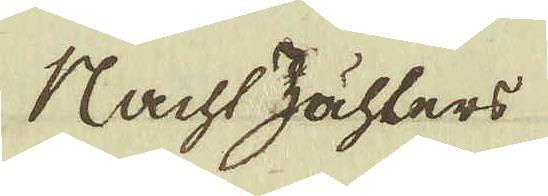Machs zähllers
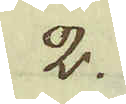2.
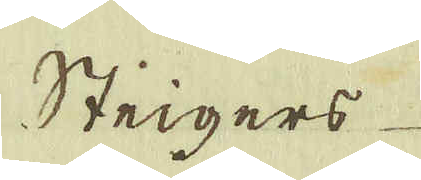Steigers
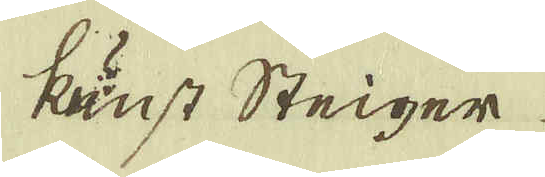kunst Steiger
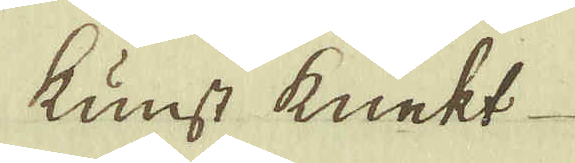Kunst knekt
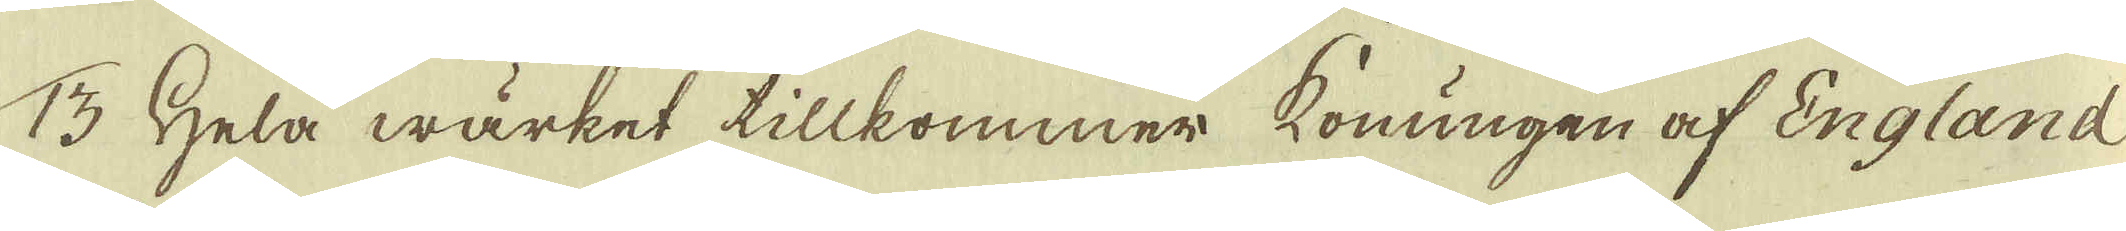13 Hela wärket tillkommer konungen af England
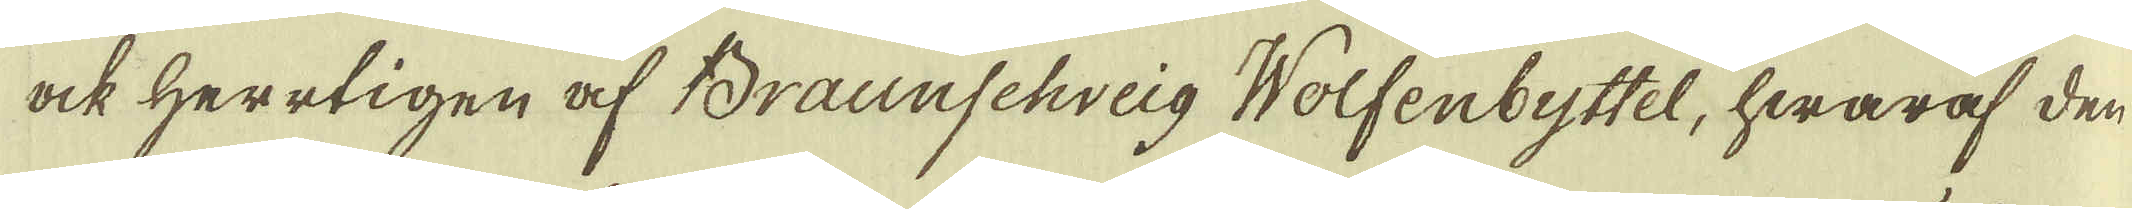ock Herrtigen af Braunschweig Wolfenbyttel, hwaraf den
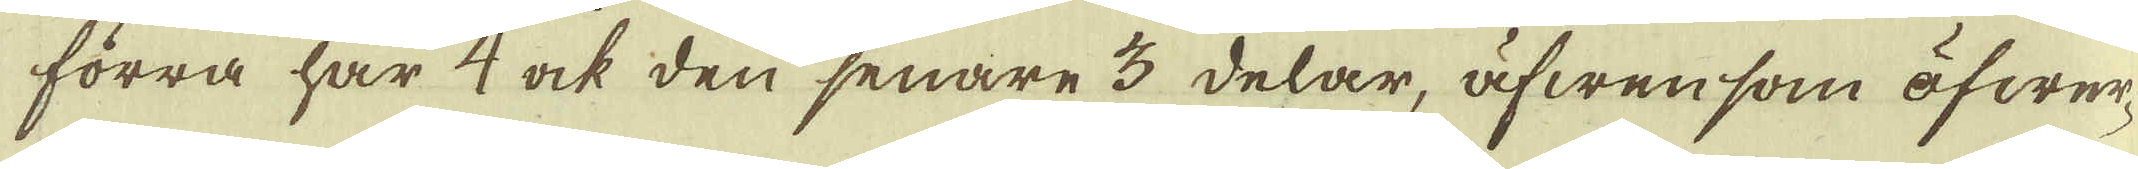förra har 4 ock den senare 3 delar, äfwen som öfwer-
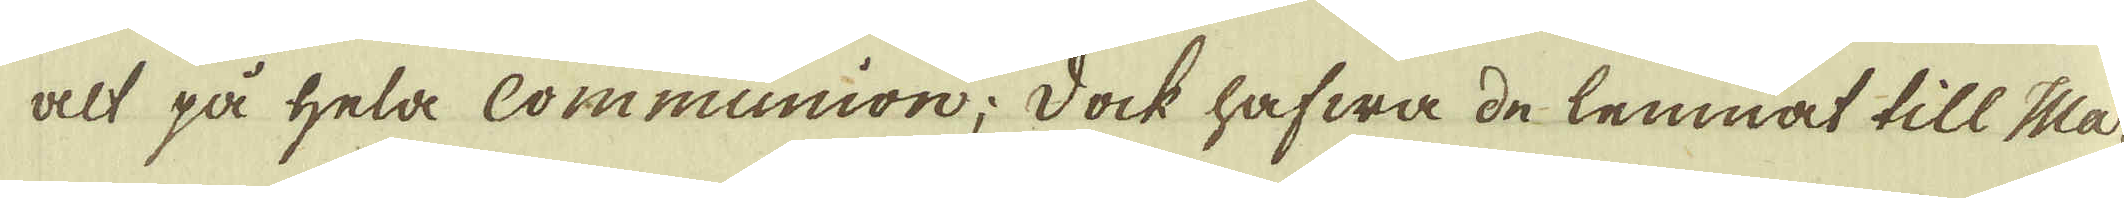alt på hela Communion; dock hafwa de lemnat till Ma-
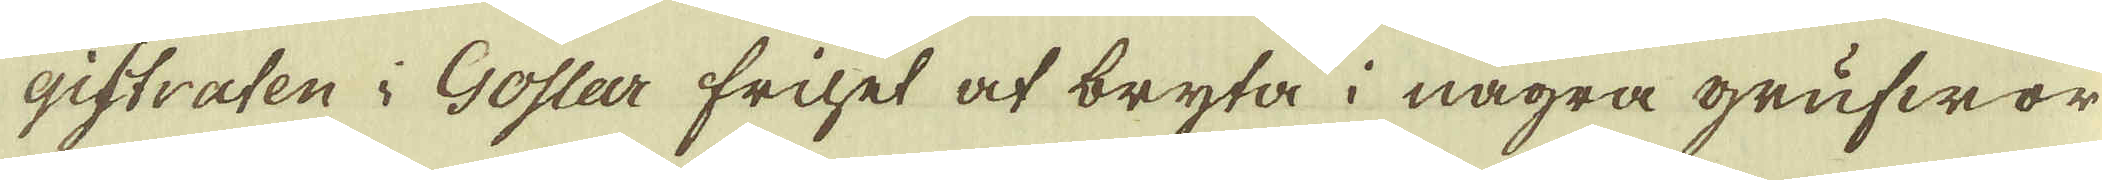gistraten i Goslar frihet at bryta i några grufwor
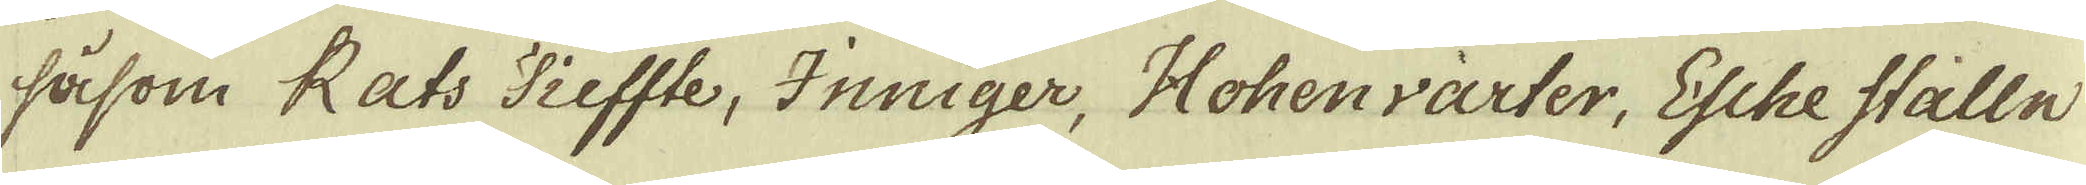såsom Rats Tieffte, Inniger, Hohenvarter, Esche stalln
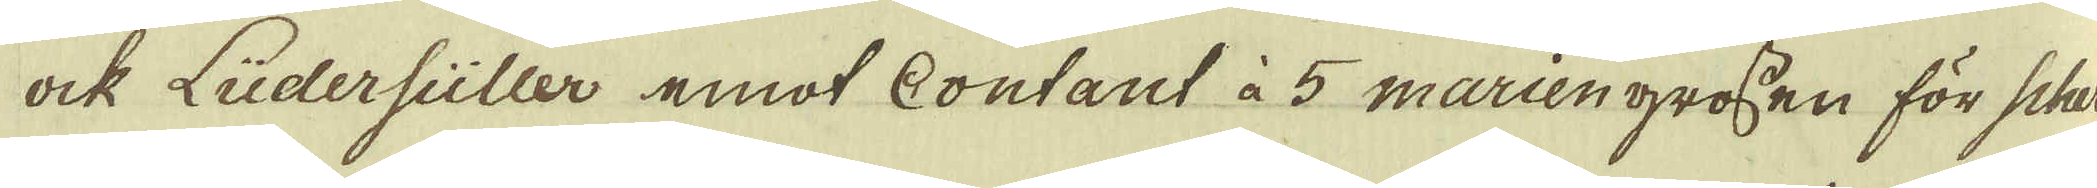ock Ludersuller emot Contant à 5 marien grossen för Sher-
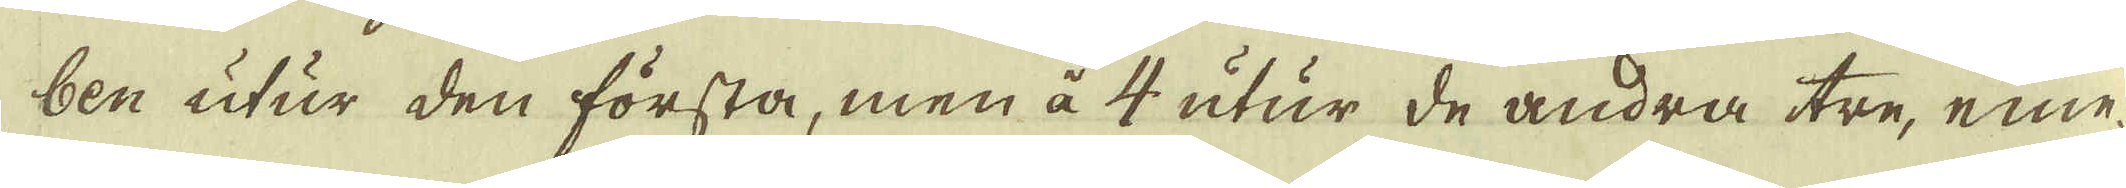ben utur den första, men å 4 utur de andra tre, eme-
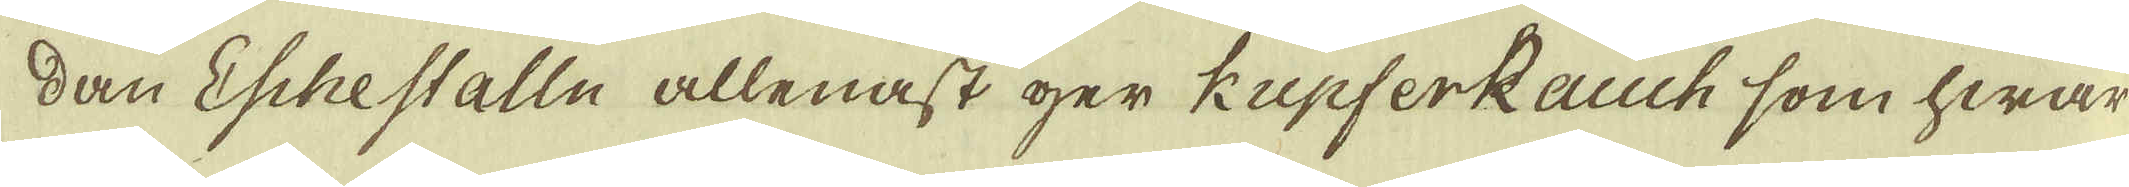dan Eschestalln allenast ger kupferRauch som hwar
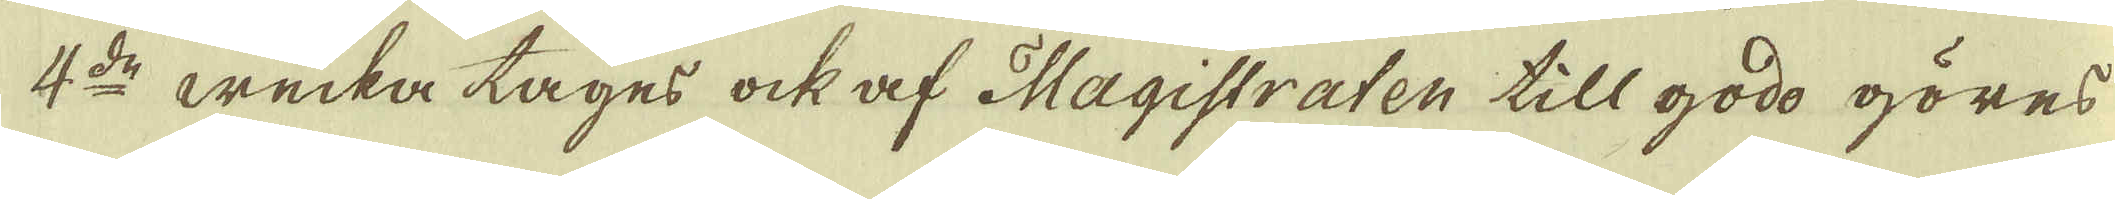4:de wecka tages ock af Magistraten till godo göres
